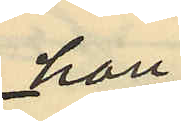hon
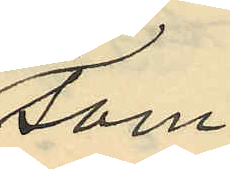som
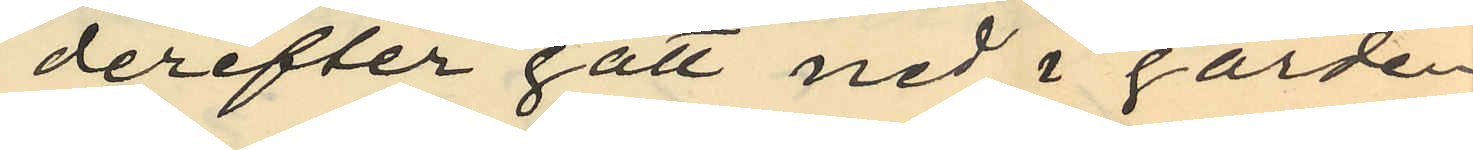derefter gått ned i gården
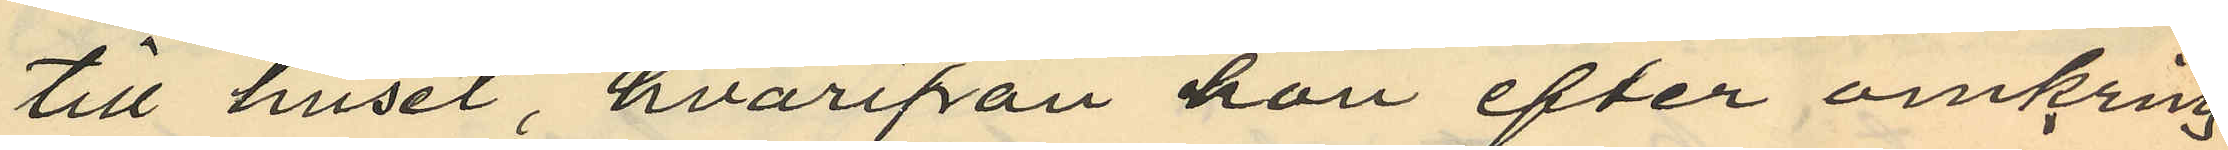till huset, hvarifån hon efter omkring
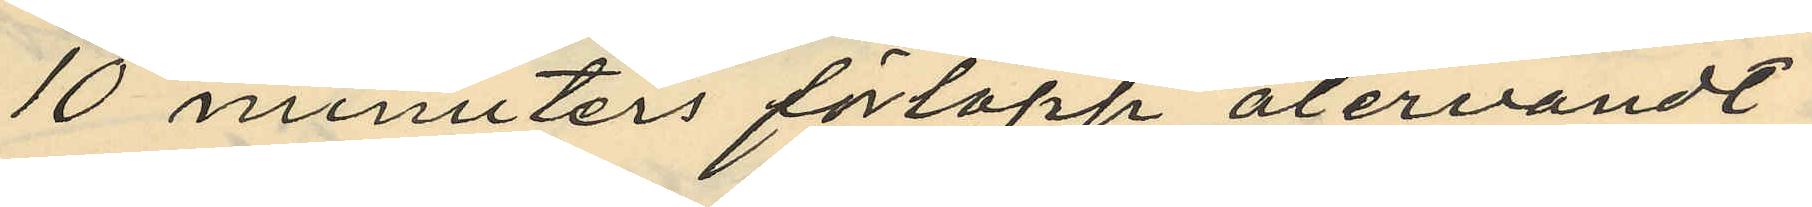10 minnters förlopp återvändt i
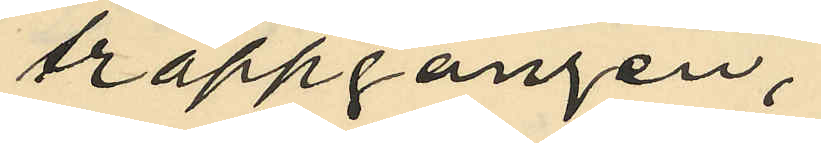trappgången,
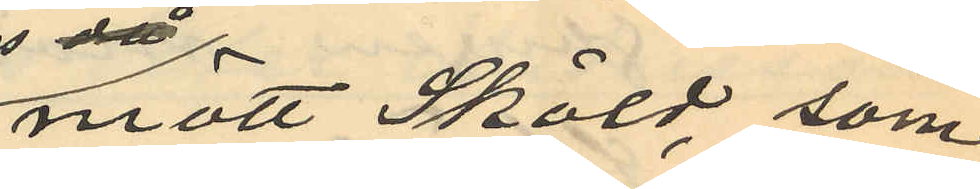mött Sköld, som
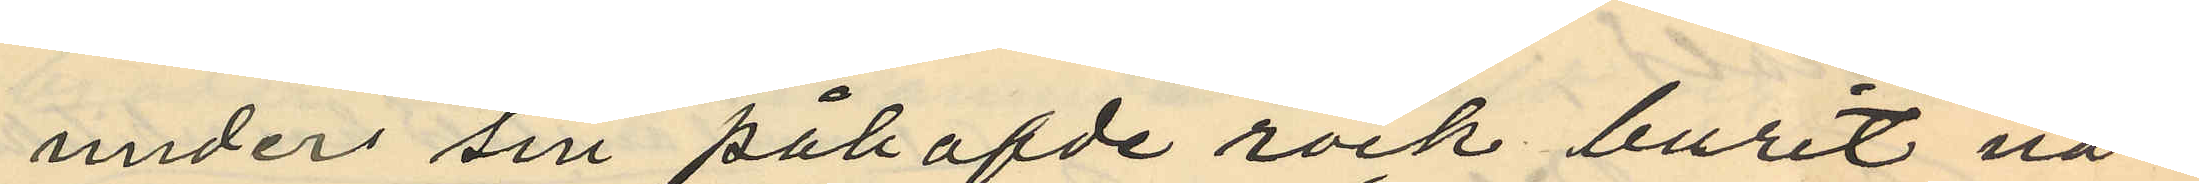under sin påhafde rock burit nå¬
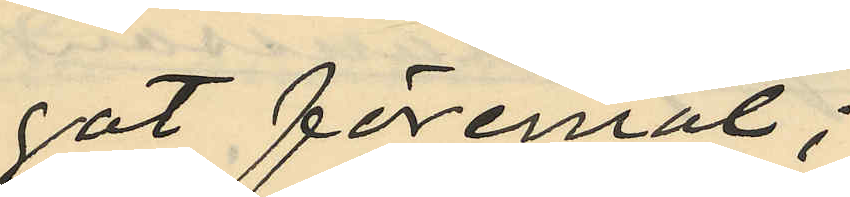got föremål;
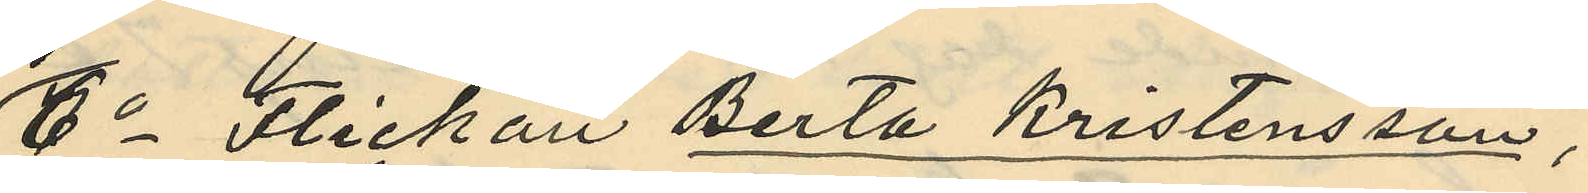6o Flickan Berta Kristensson,
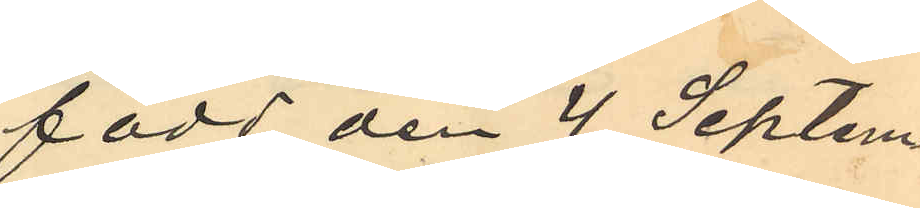född den 4 Septem¬
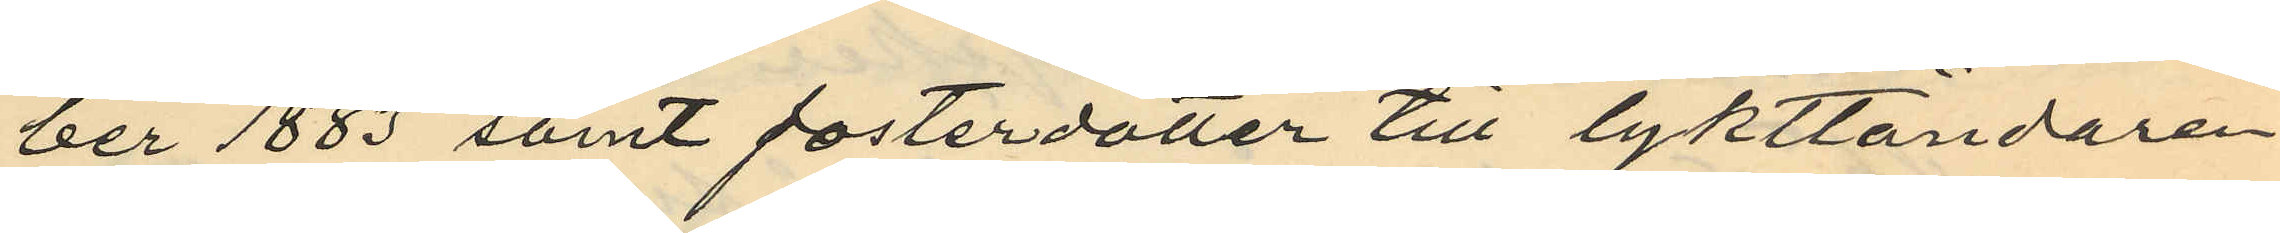ber 1883 samt fosterdotter till lykttändaren
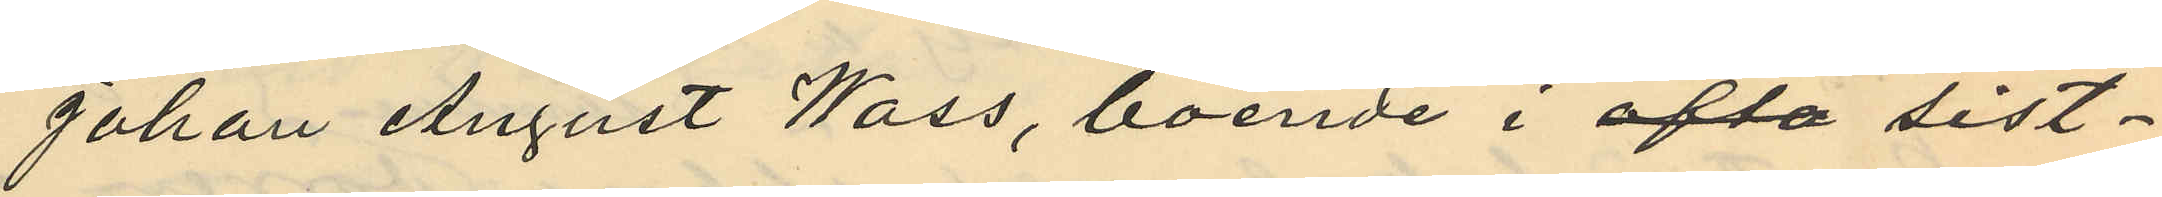Johan August Wass, boende i ofta sist¬
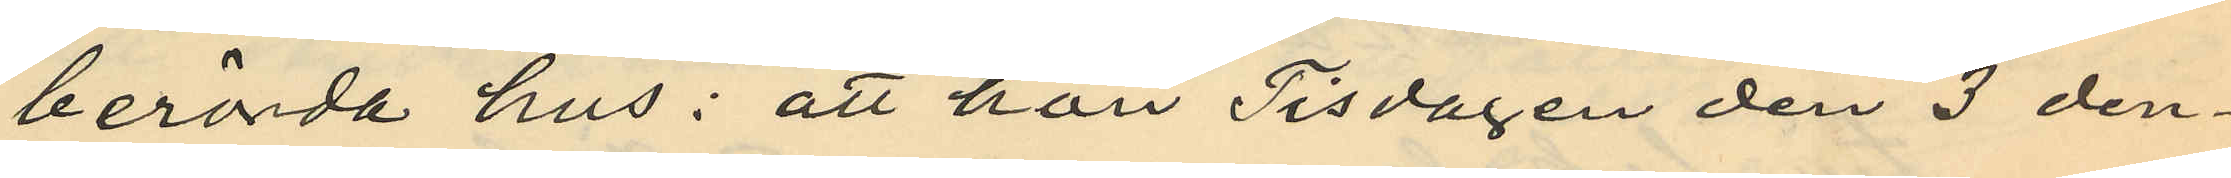berörda hus: att hon Tisdagen den 3 den¬
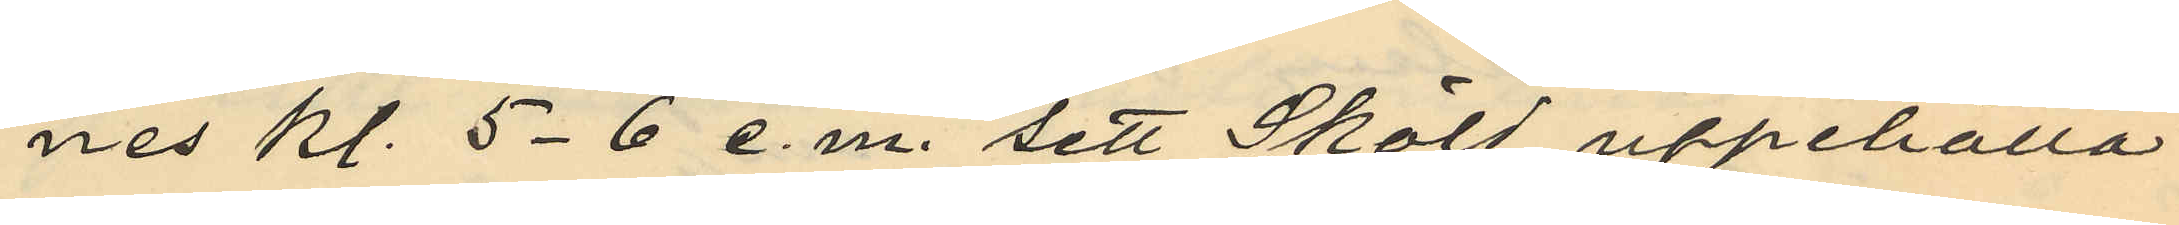nes kl. 5-6 e.m. sett Sköld uppehålla
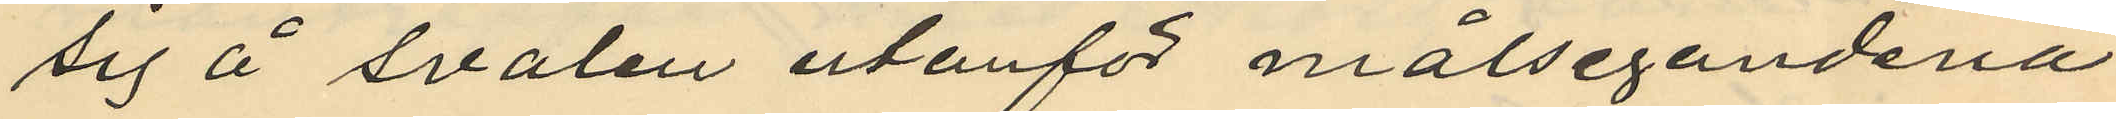sig å svalen utanför målsegandena
